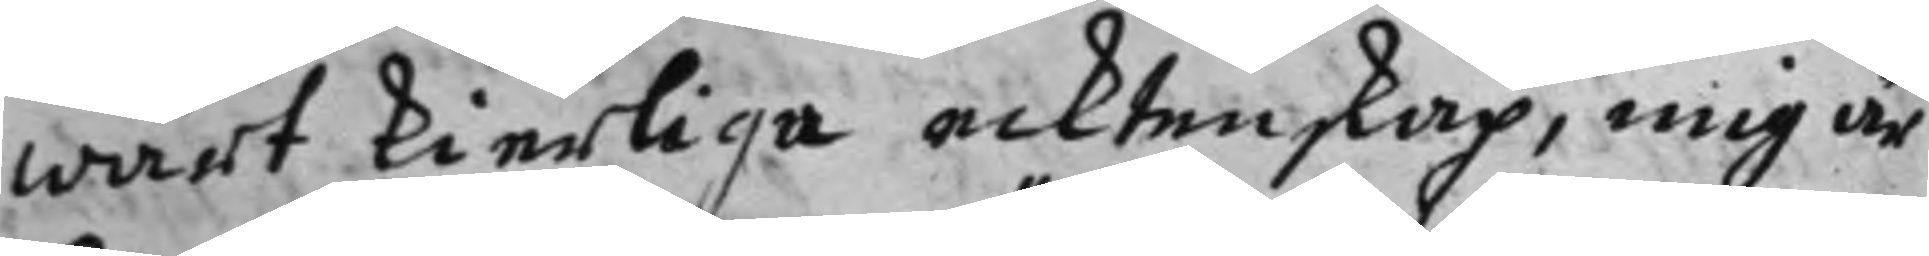wårt kierliga ecktenskap, mig är
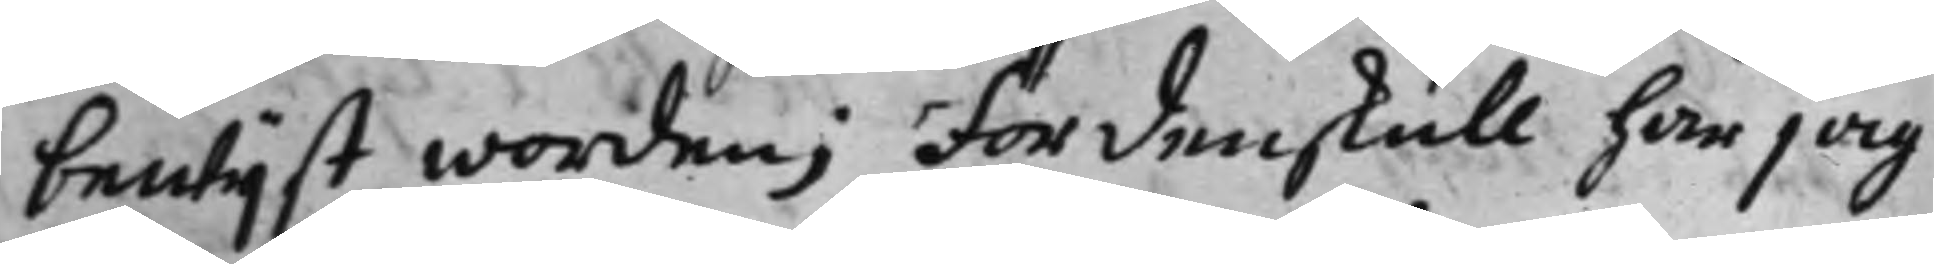bewijst worden; Fördenskull har jag
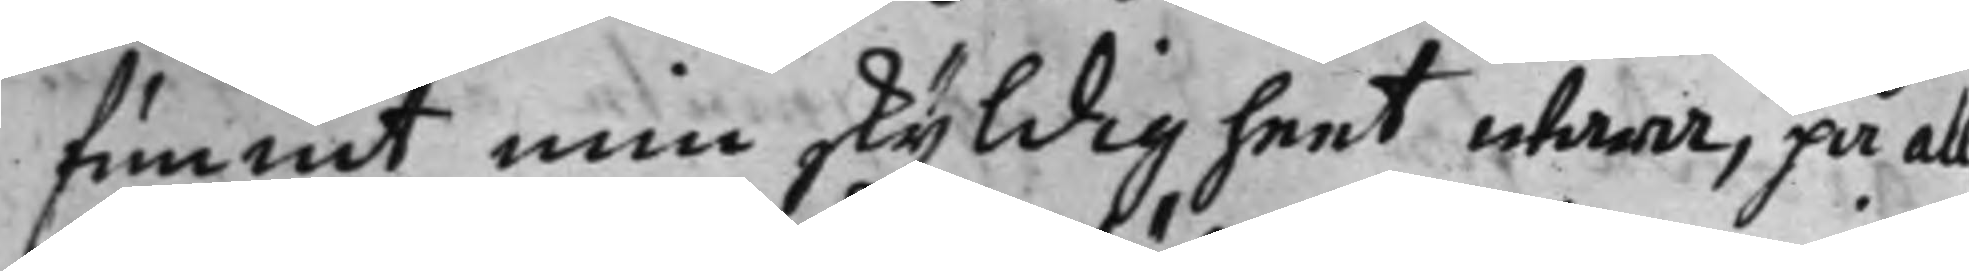funnit min skyldigheet wara, på all
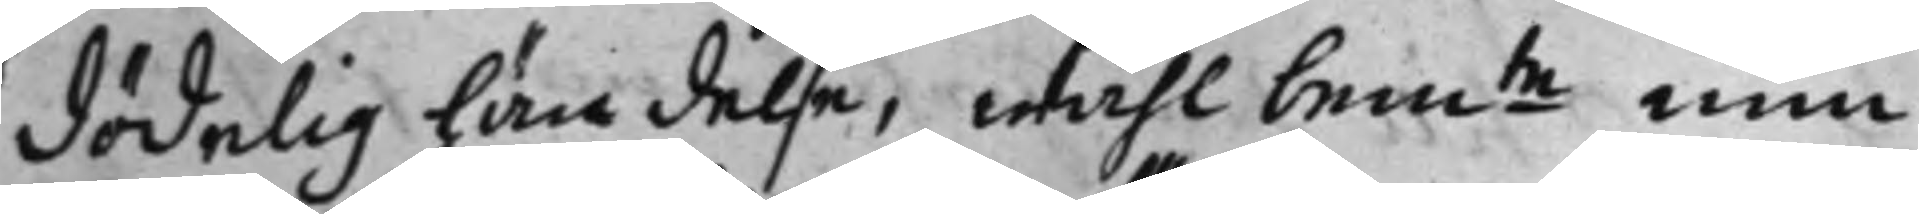dödelig händelse, wähl bem:te min 
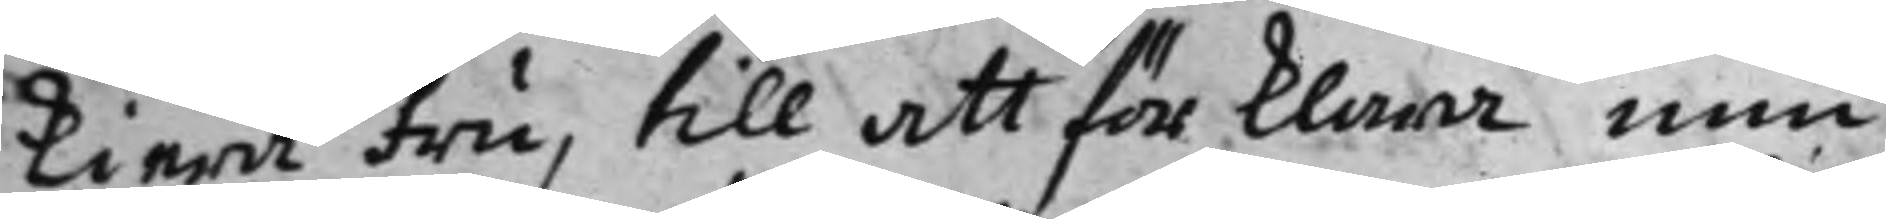kiera fru, till att förklara min
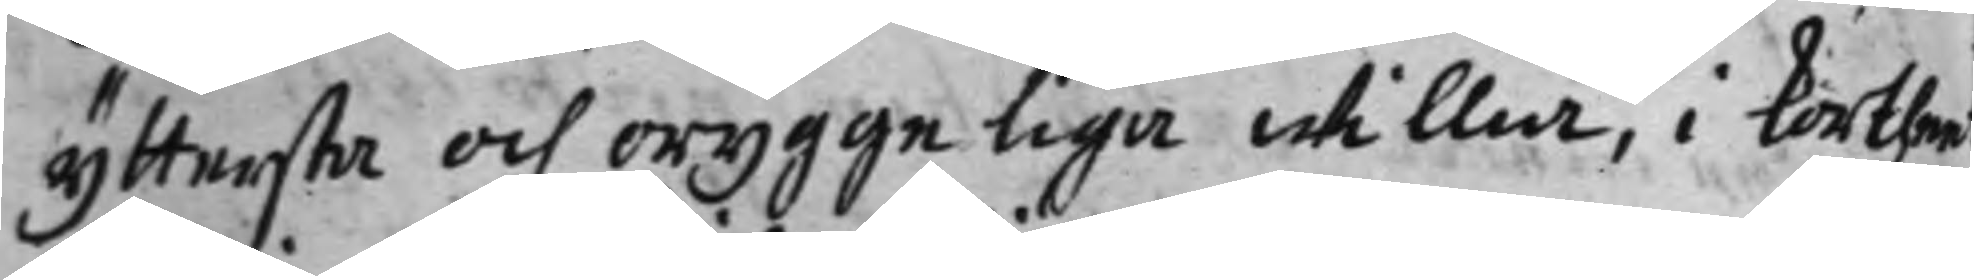yttersta och oryggeliga willia, i kortheet
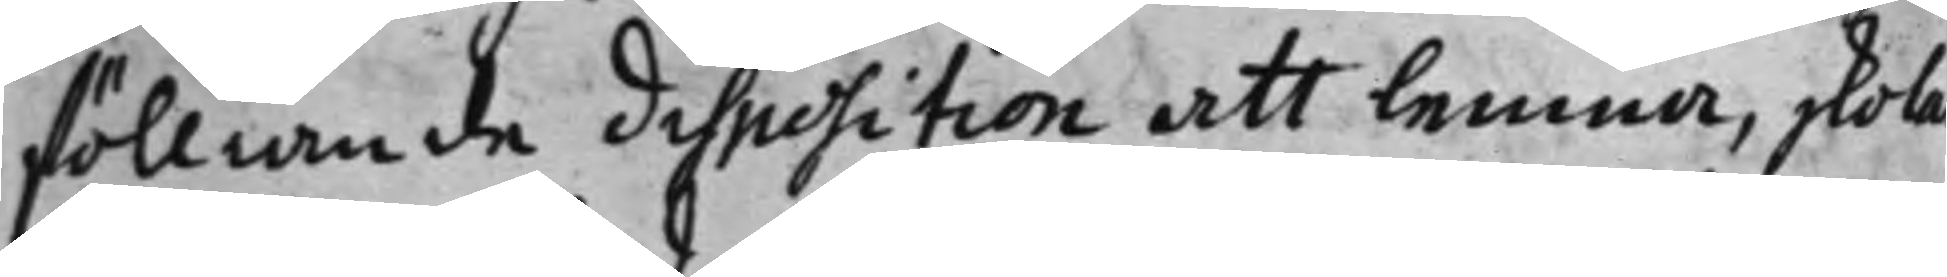fölliande disposition att lemna, skola
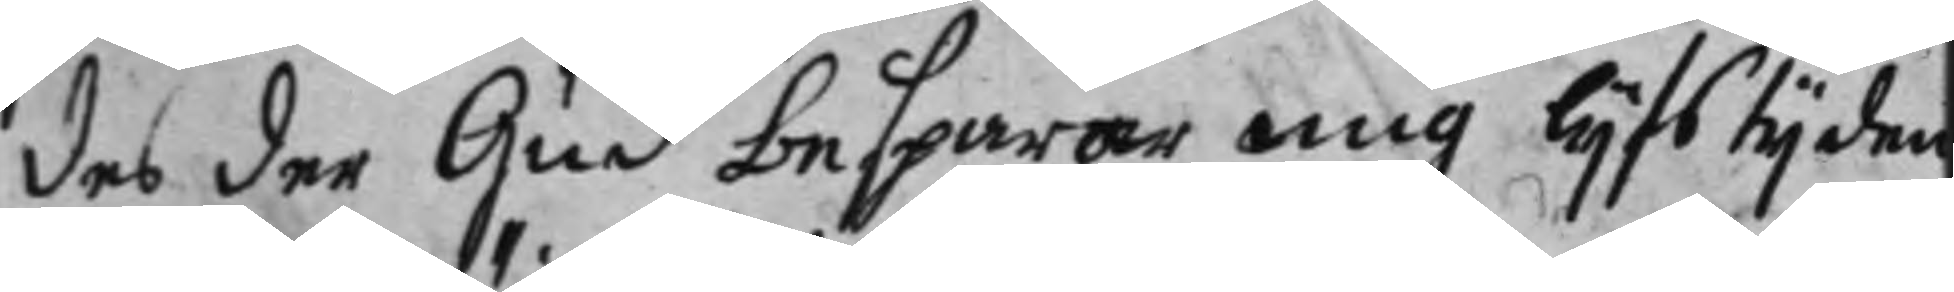des der Gud besparar mig lijfstijden
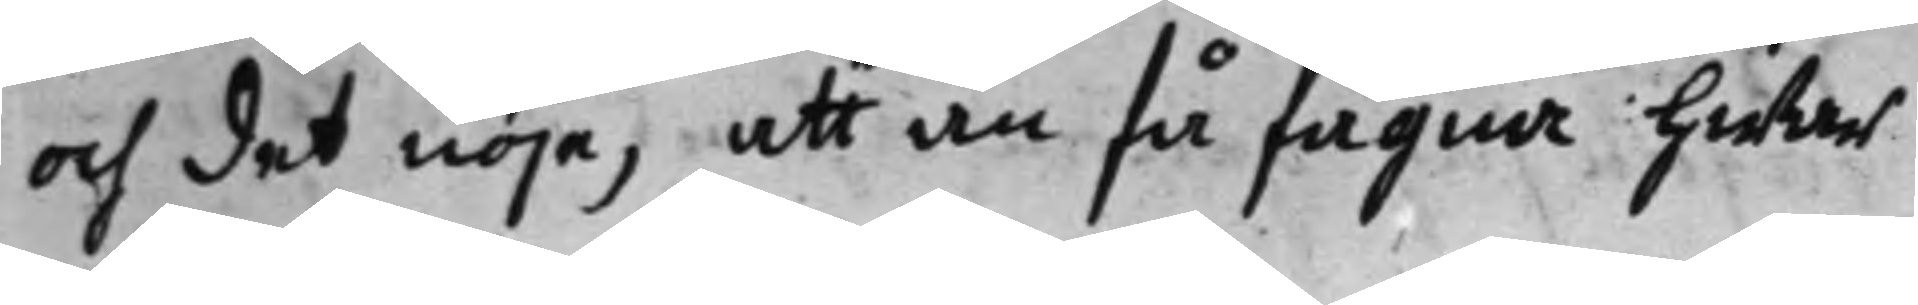och det nöje, att än få fägna hwar
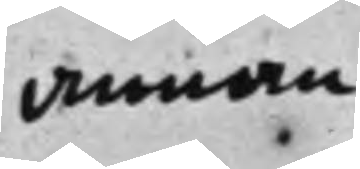annan
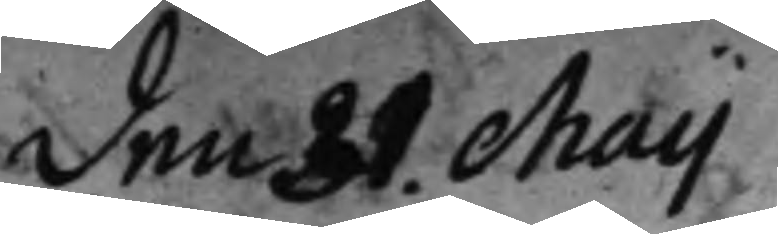den 31. Maij
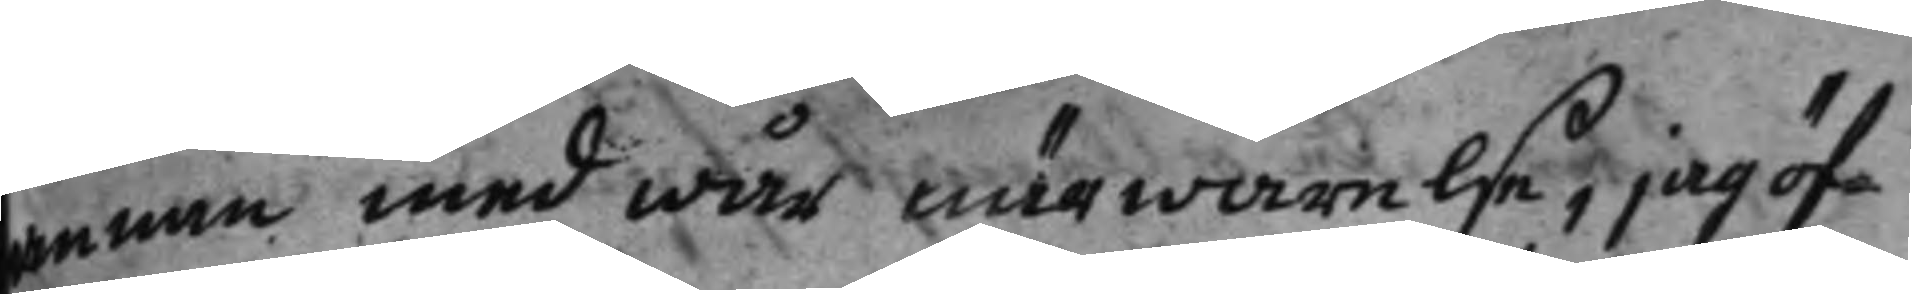annan med wår närwarelse, jag öf¬
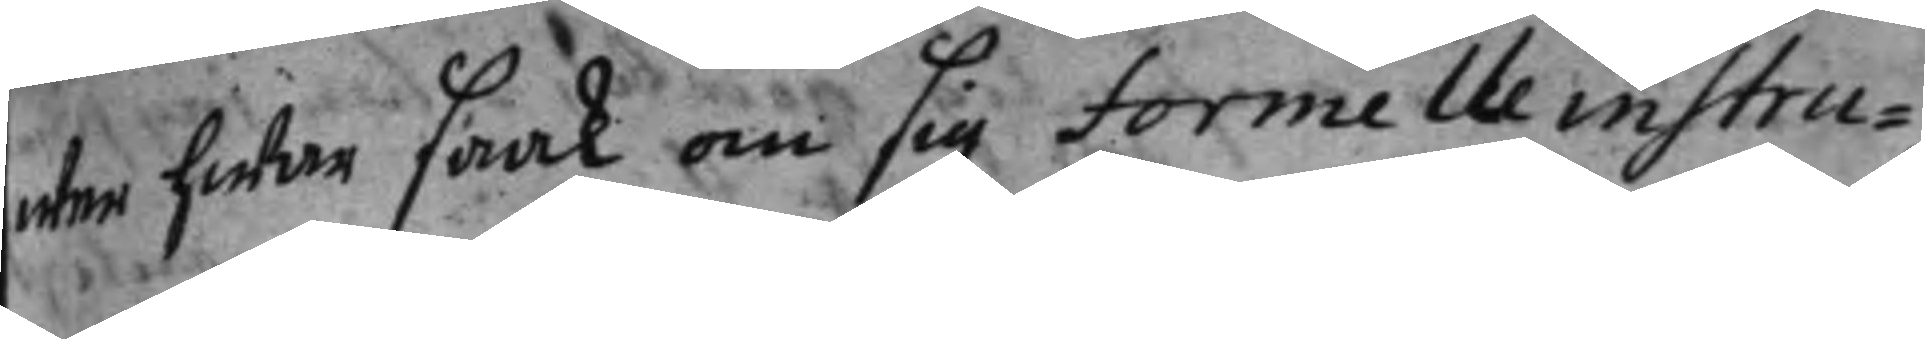wer hwar saak om sig formelle instru¬
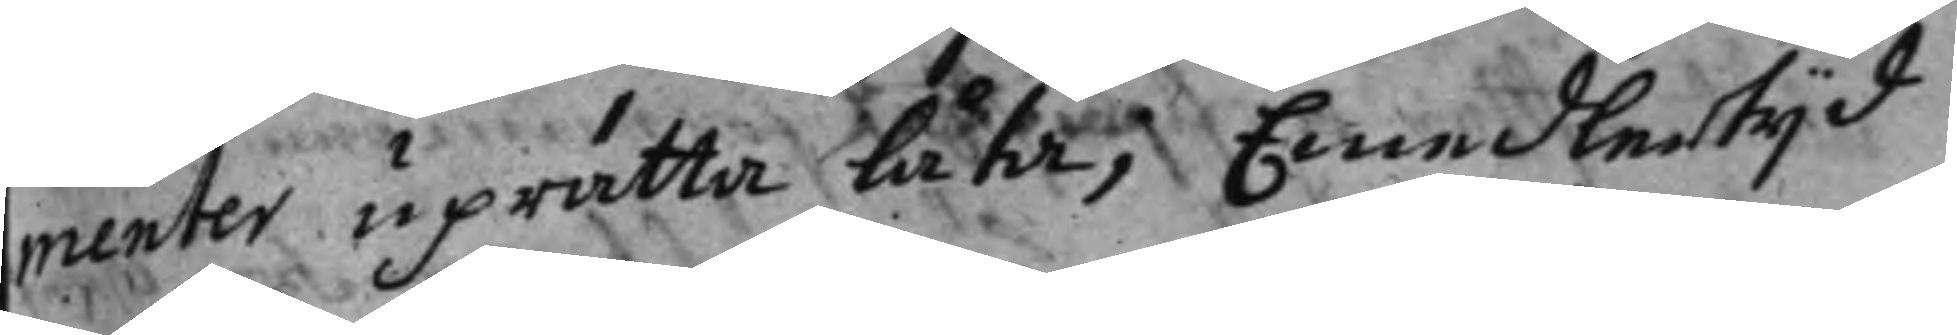menter uprätta låta, Emedlertijd
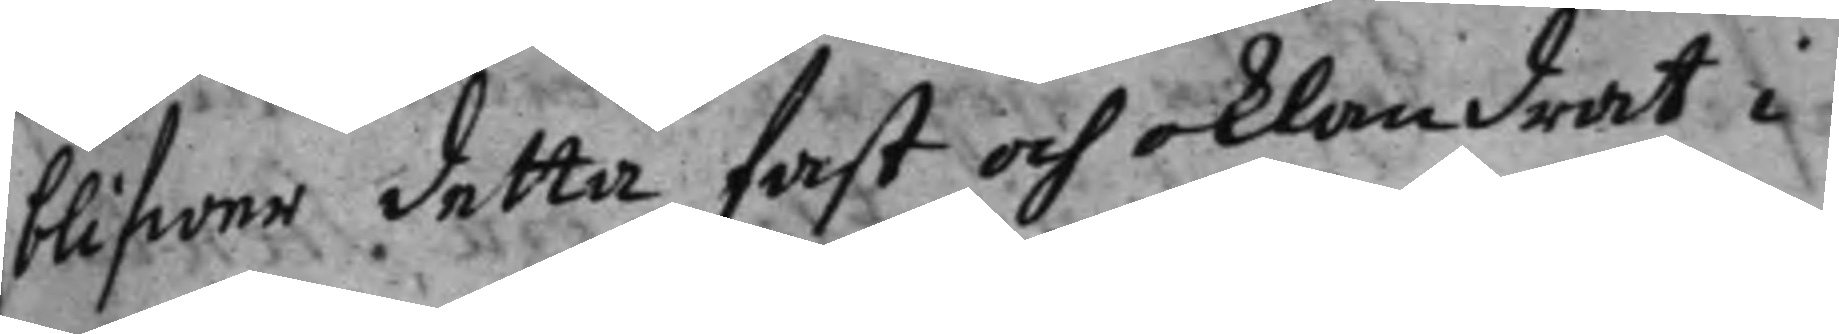blifwer detta fast och oklandrat i
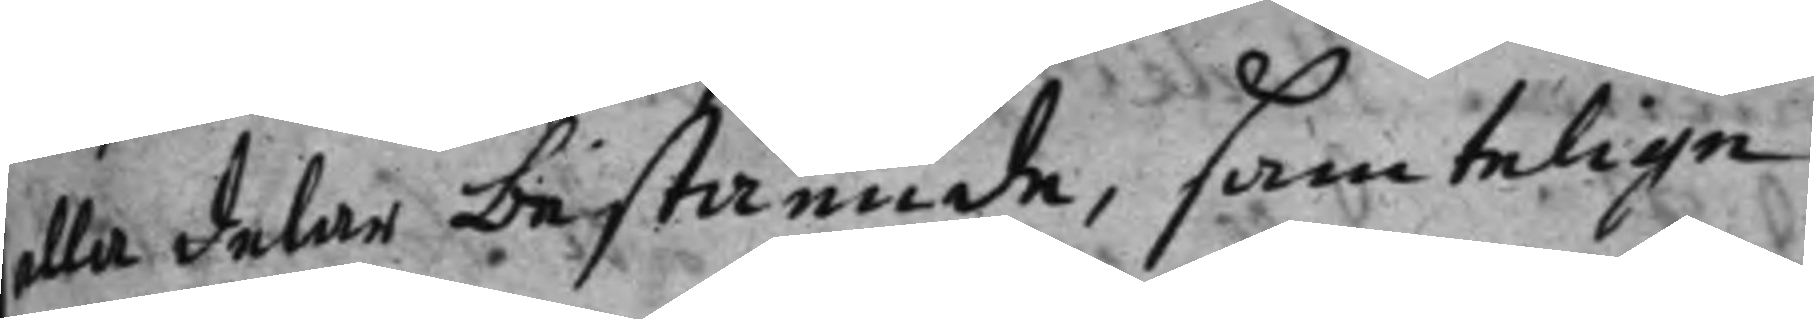alla delar bestående, samtelige
